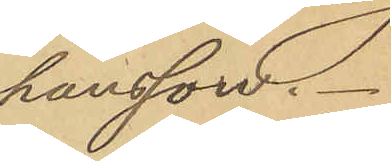hansson.
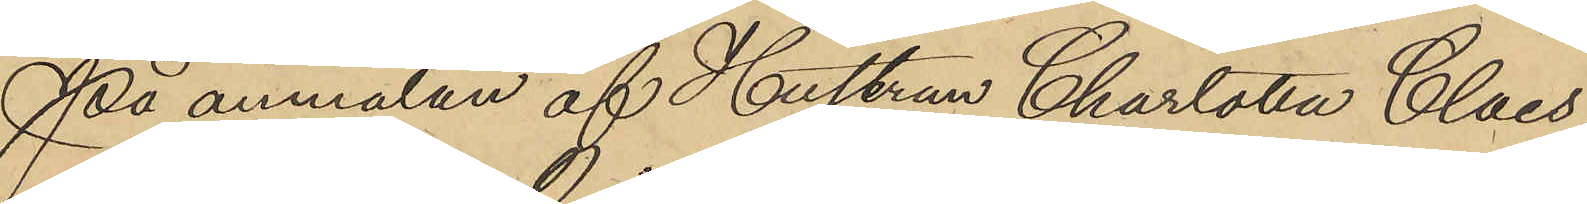På anmälan af Hustrun Charlotta Claes-
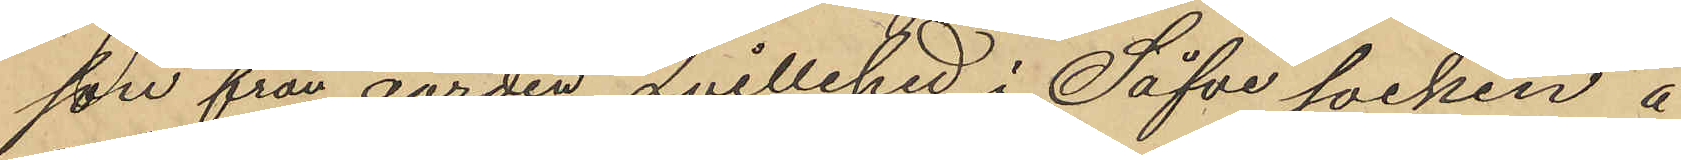son från gården Qvillehed i Säfve socken å
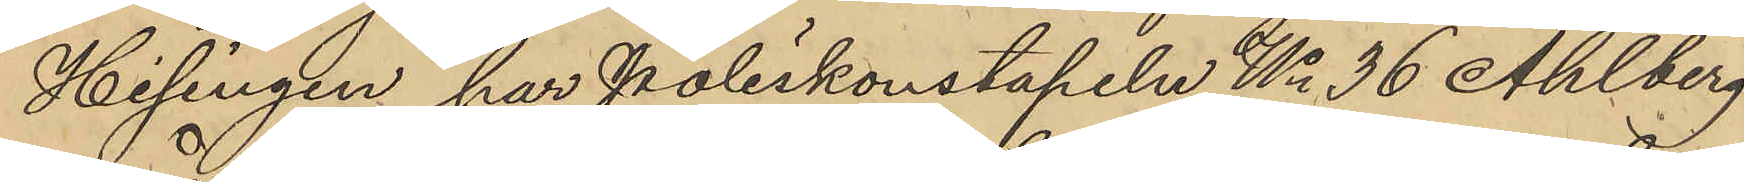Hisingen har Poliskonstapeln No 36 Ahlberg
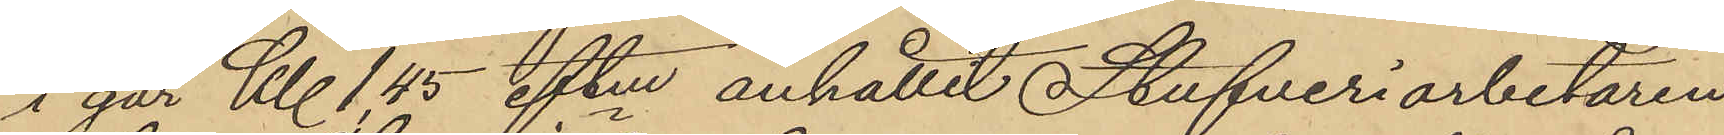i går Kl 1,45 eftm anhållit Stufveriarbetaren
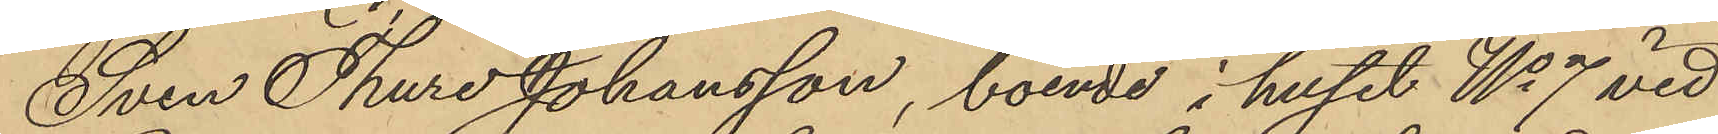Sven Thure Johansson, boende i huset No 7 vid
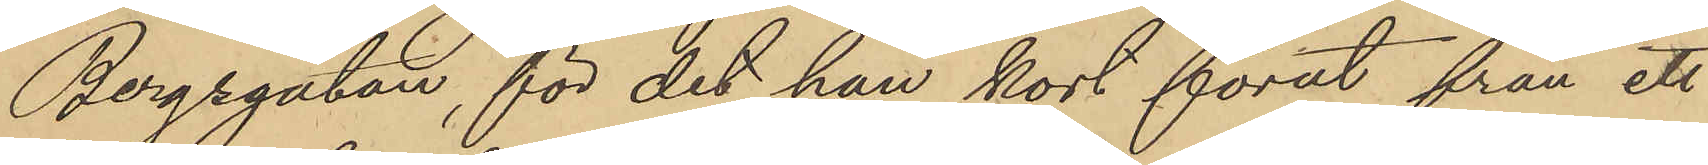Bergsgatan, för det han kort förut från ett
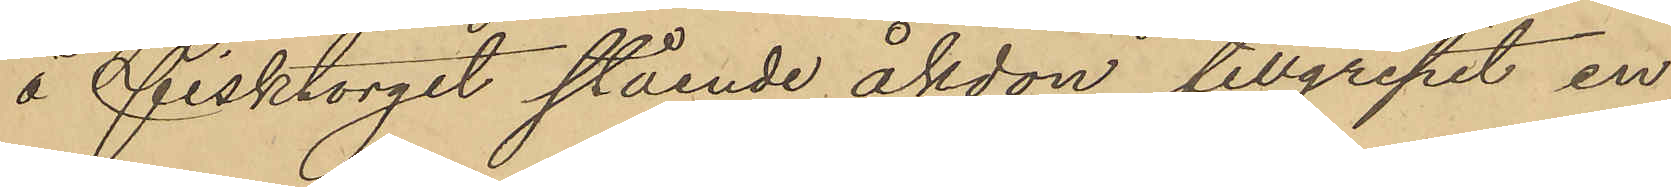å Fisktorget stående åkdon tillgripit en
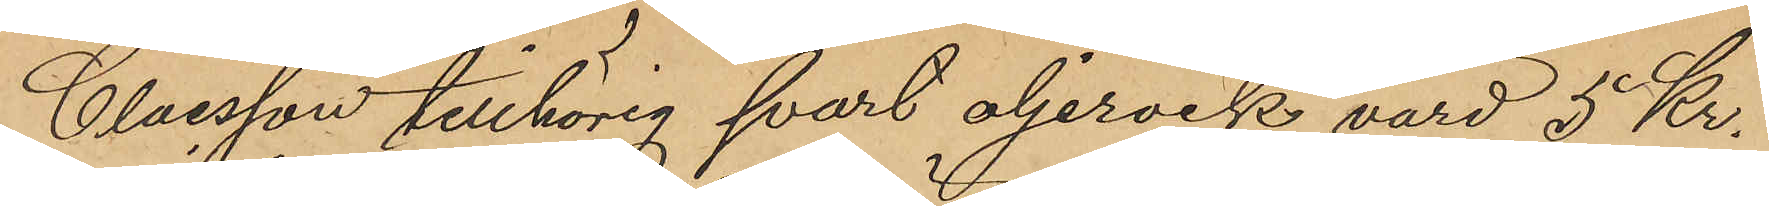Claesson tillhörig svart oljerock, värd 5 Kr.
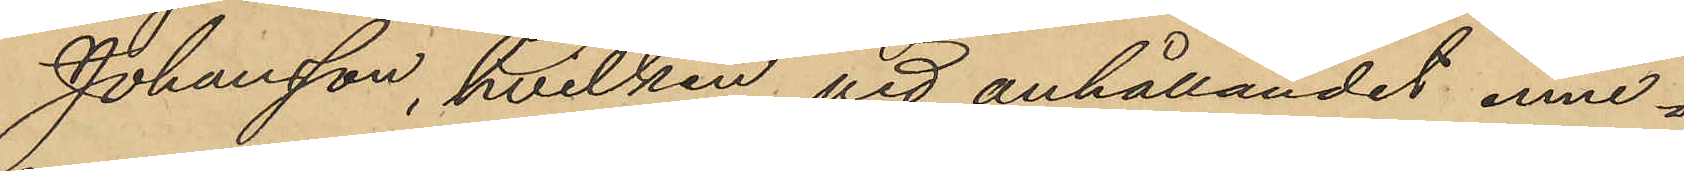Johansson, hvilken vid anhållandet inne¬
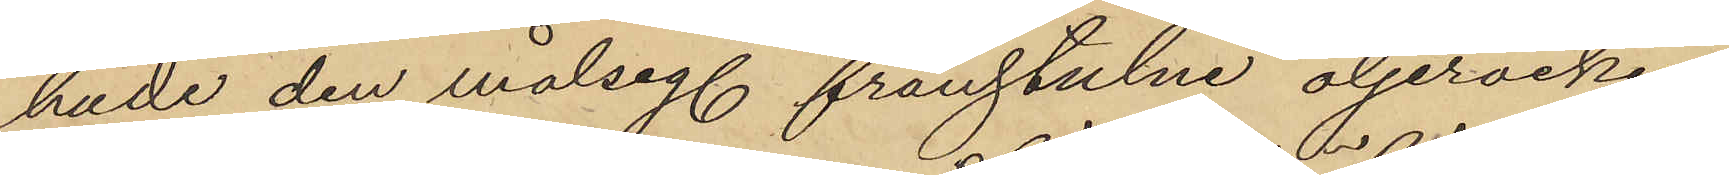hade den målseg. frånstulne oljerocken
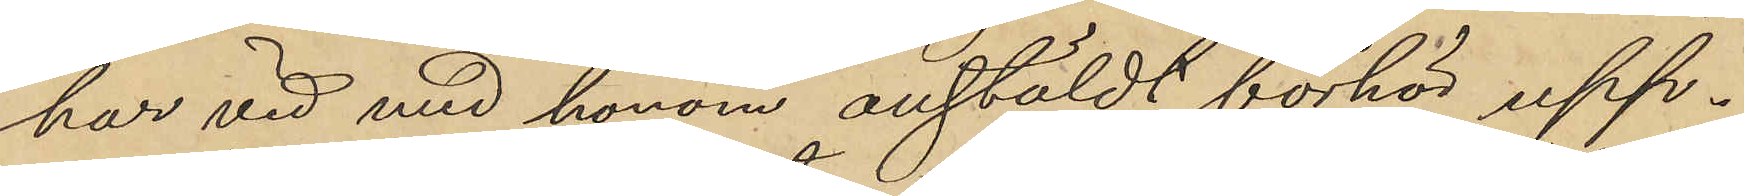har vid med honom anstäldt förhör upp¬
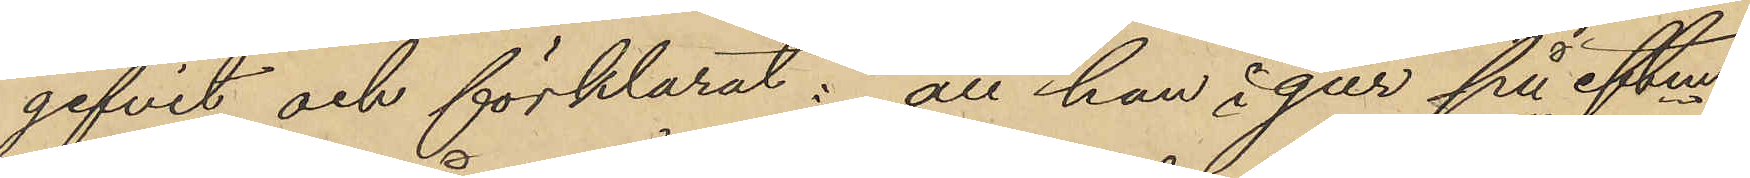gifvit och förklarat: att han igår på eftm
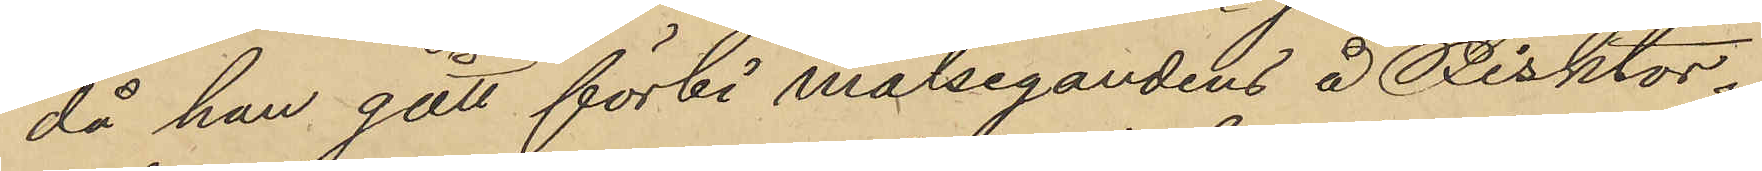då han gått förbi målsegandens å Fisktor¬
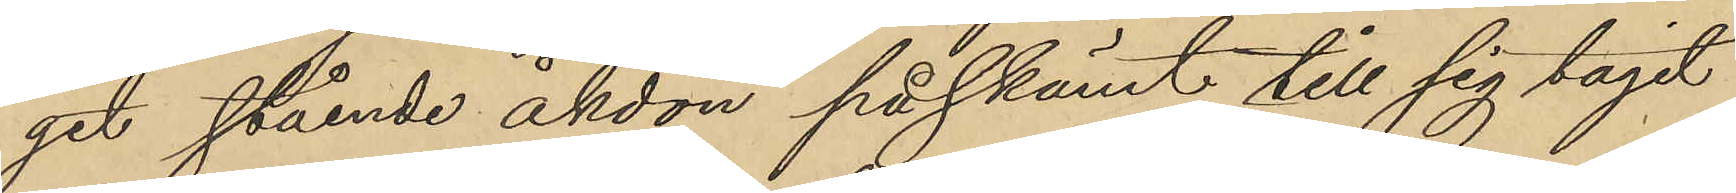get stående åkdon på skämt till sig tagit
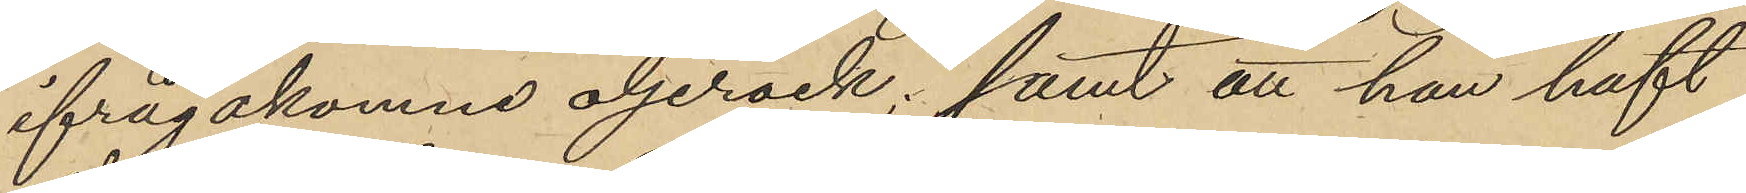ifrågakomne oljerock; samt att han haft
